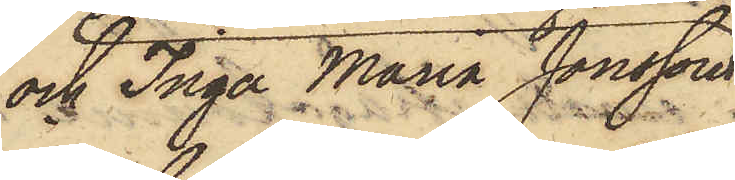och Inga Maria Jonsson
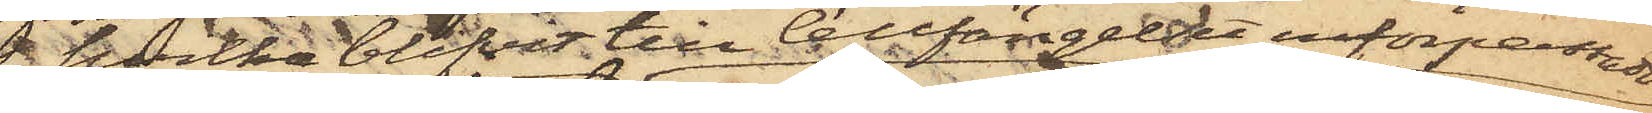hvilka blifvit till Cellfängelset införpassade
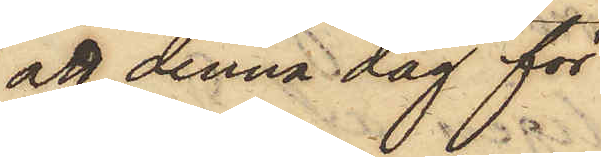att denna dag för
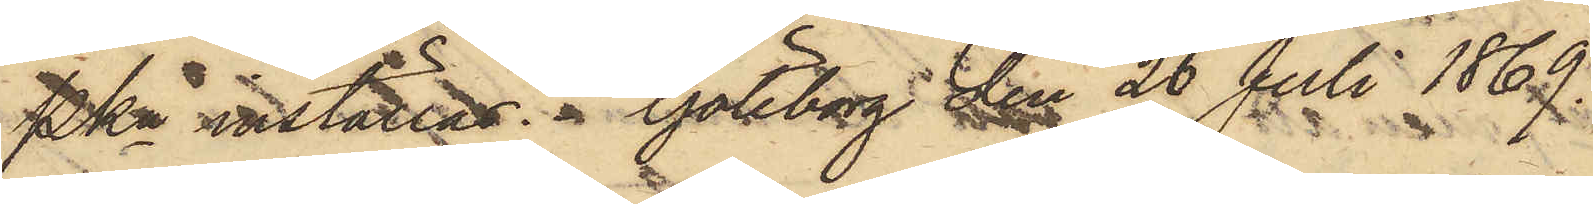Pkn inställas. Göteborg den 26 Juli 1869.
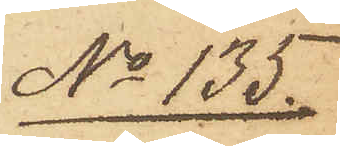No 135.
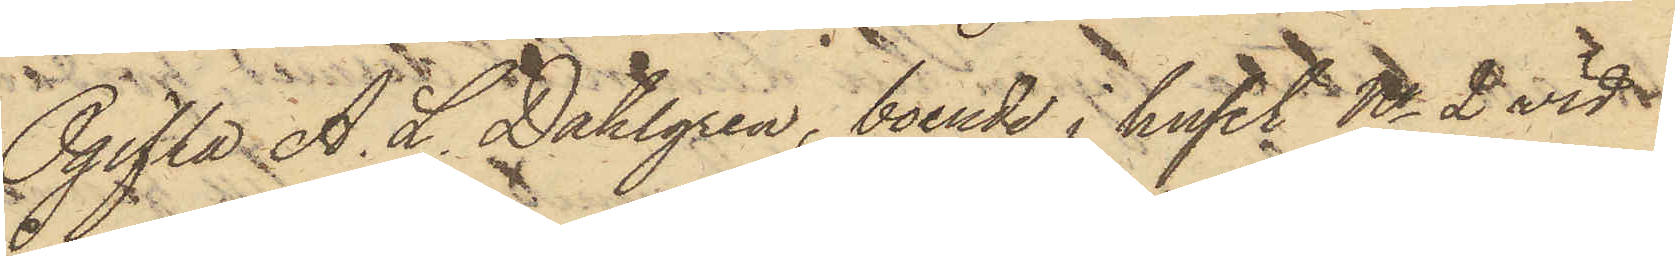Ogifta A. L. Dahlgren, boende i huset No 2 vid
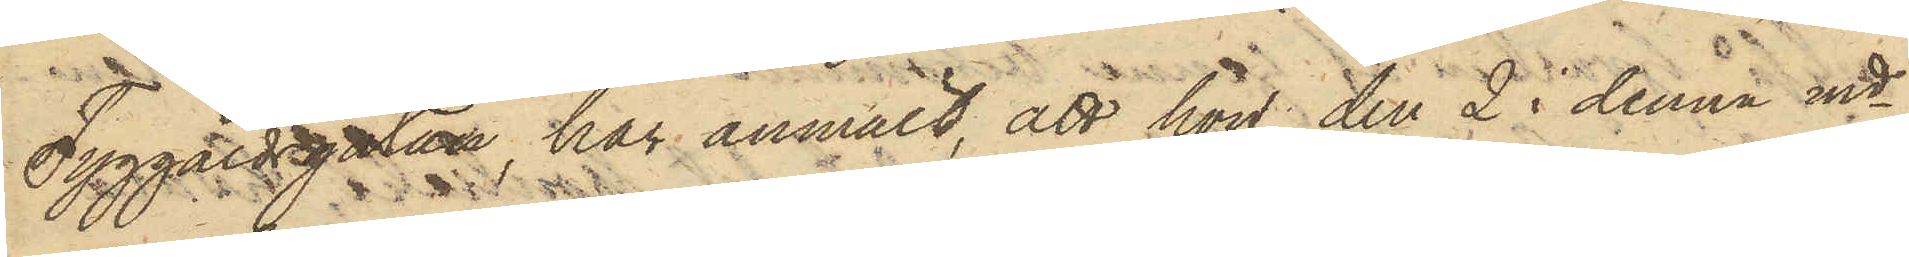Tyggårdsgatan, har anmält, att hon den 2 i denna md
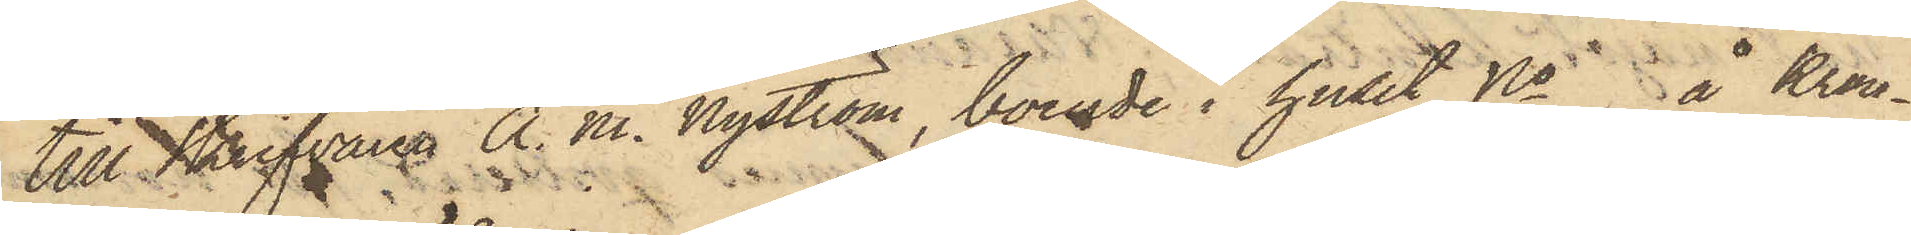till Skrifvaren A. M. Nyström, boende i huset No å Kron¬
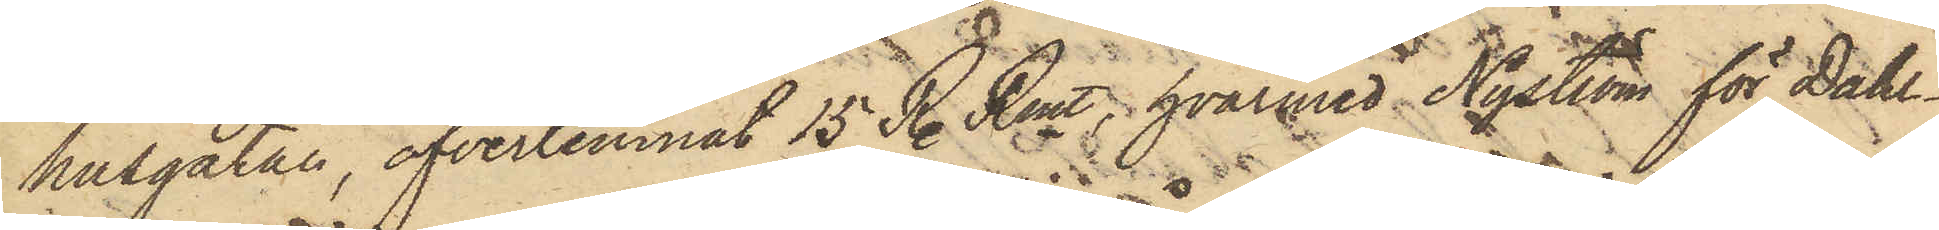husgatan, öfverlemnat 15 R. Rmt, hvarmed Nyström för Dahl¬
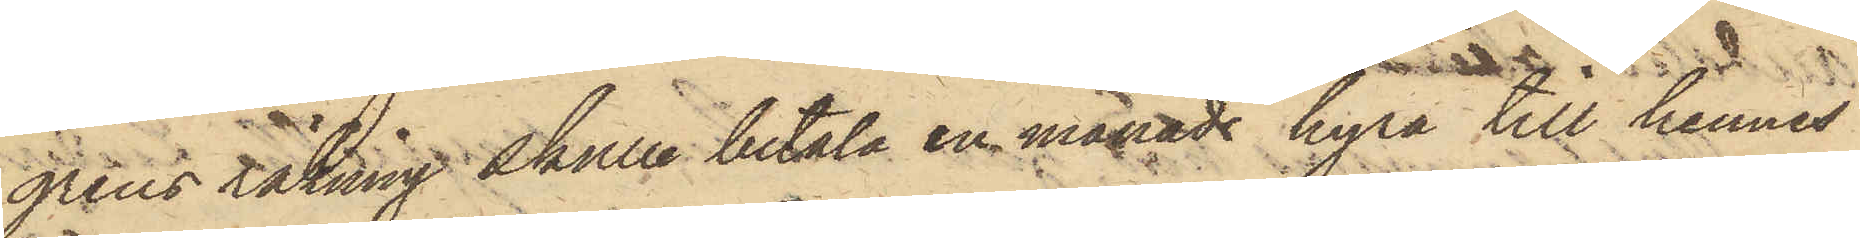grens räkning skulle betala en månads hyra till hennes
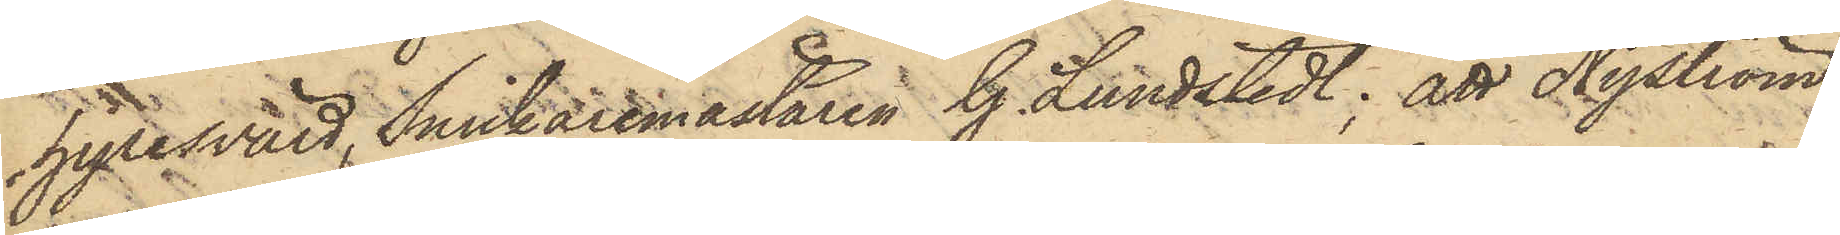hyresvärd, Snickaremästaren G. Lundstedt; att Nyström,
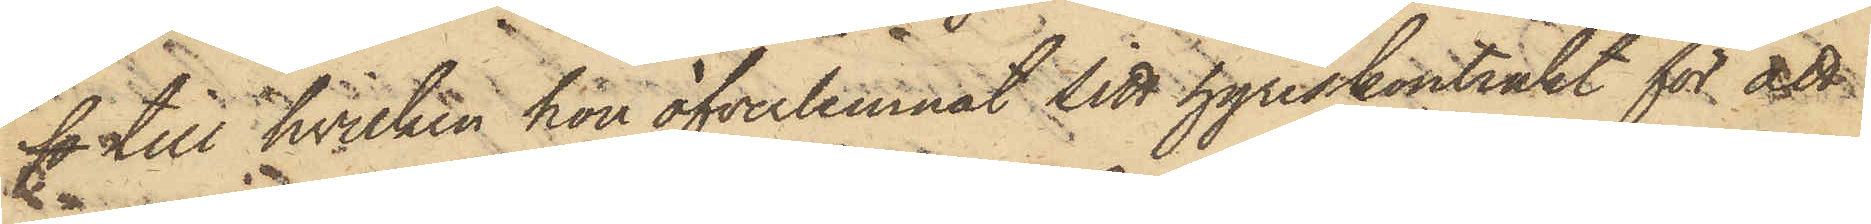fo till hvilken hon öfverlemnat sitt hyreskontrakt för att
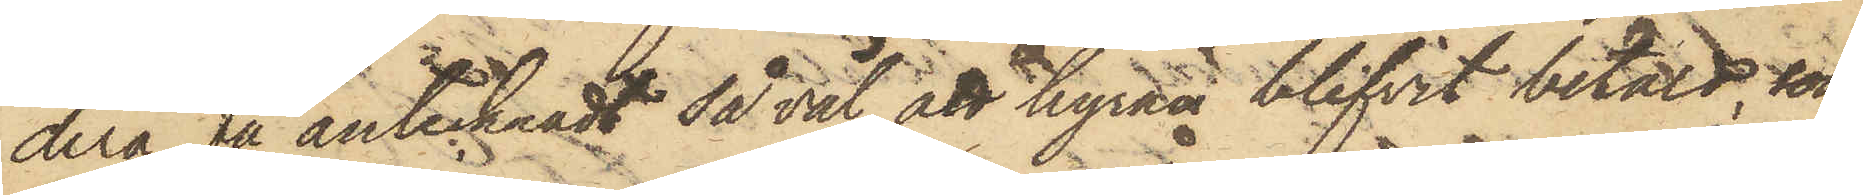derå få antecknadt då väl att hyran blifvit betald, som
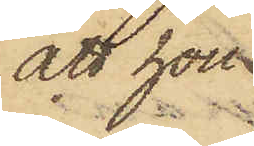att hon
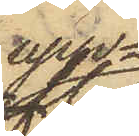upp¬
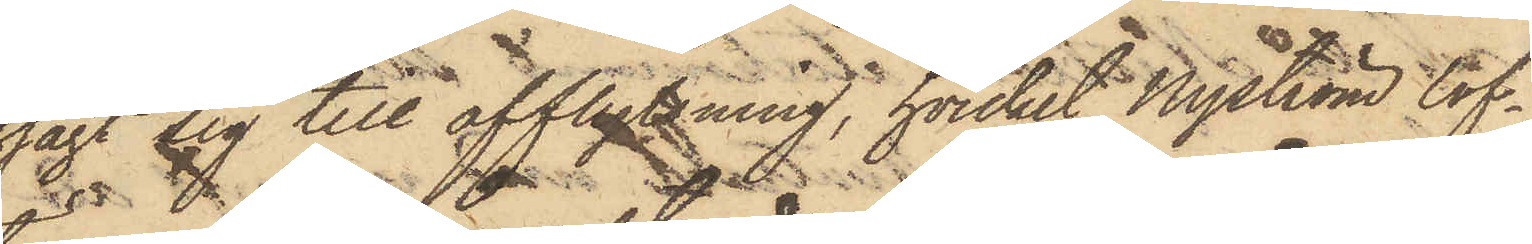sagt sig till afflyttning, hvilket Nyström lof¬
